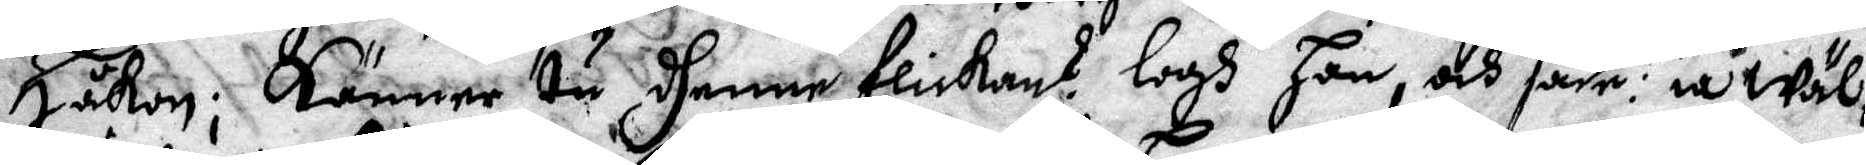Håkon; Känner tu dhenne flickan? Logh Han, och sade ia Wäl:
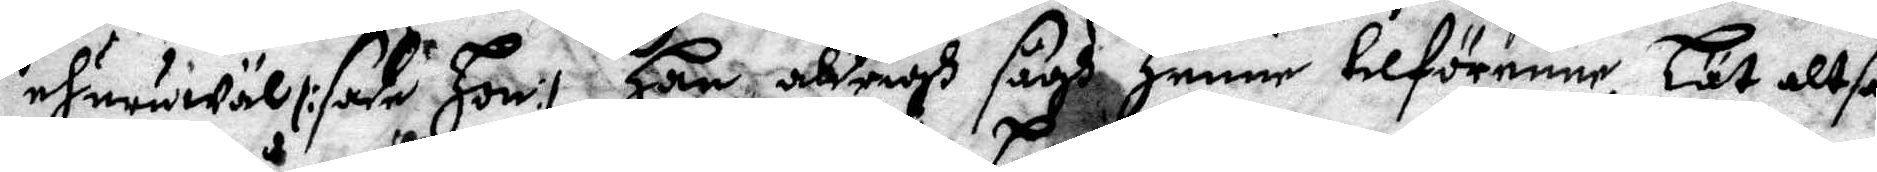ehuruwäll /: sade hon:/ Han aldrigh sågh Henne tilförenne. Lät altså
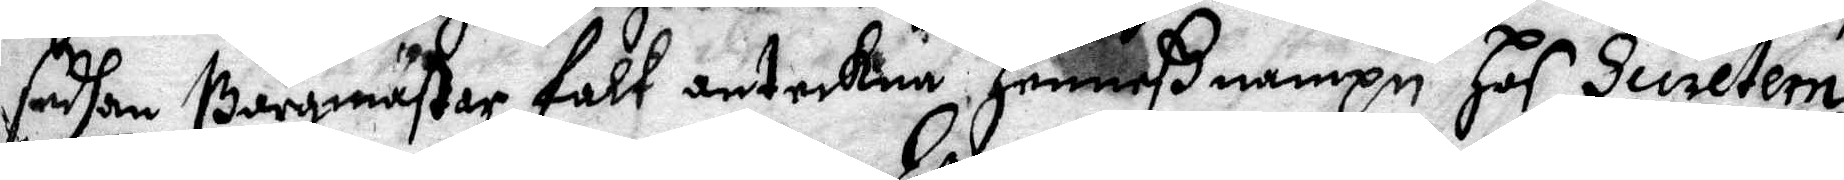sedhan Bårgmästar falk anteckna heneß nampn Hof Secretern
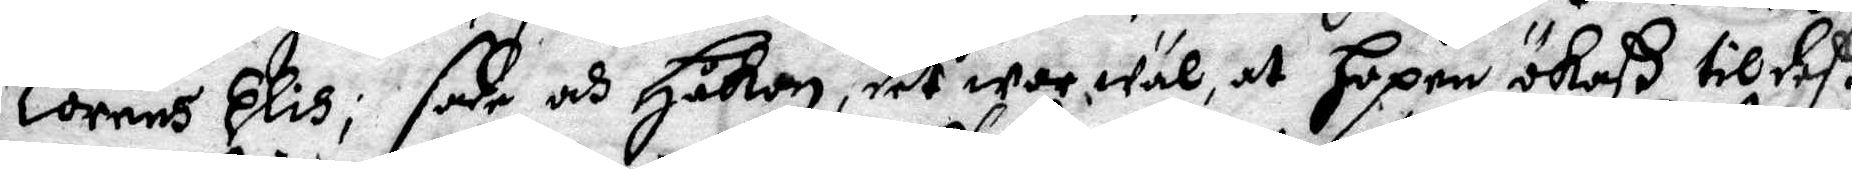Lorens Elis; sade och Håkan, det war wäl, att Hopen ökaß till deß
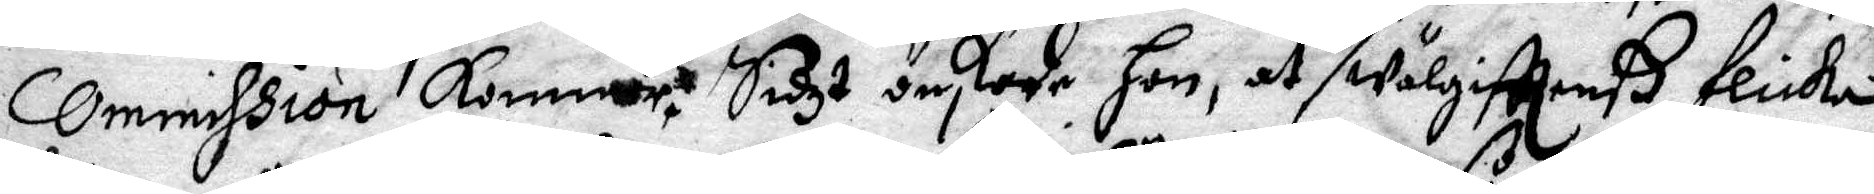Commission kommer; Sidzt önskade Hon, at wälgifttenß flicka
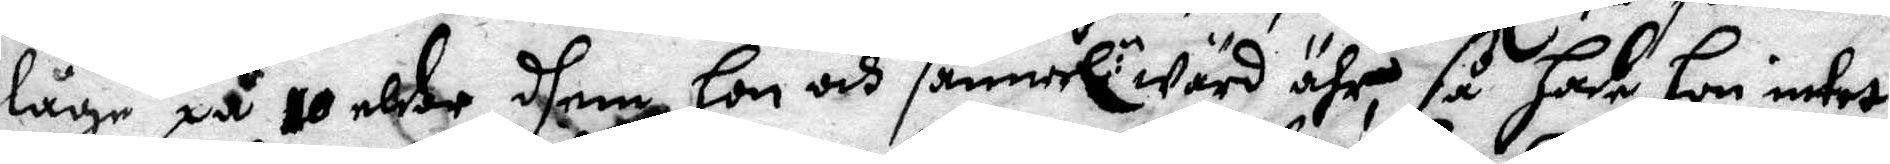låge på 10 elder, dhem Hon och sannerl: wärd ähr, så Hade Hon intet
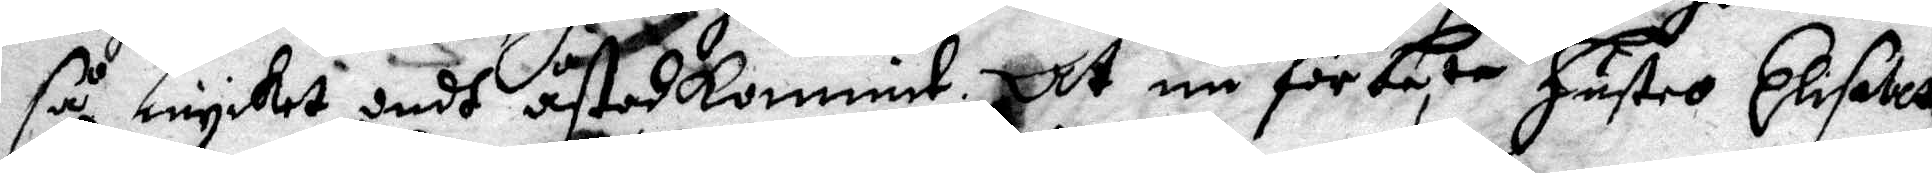så mycket ondh åstadkommit. At nu för besta Hustro Elisabett
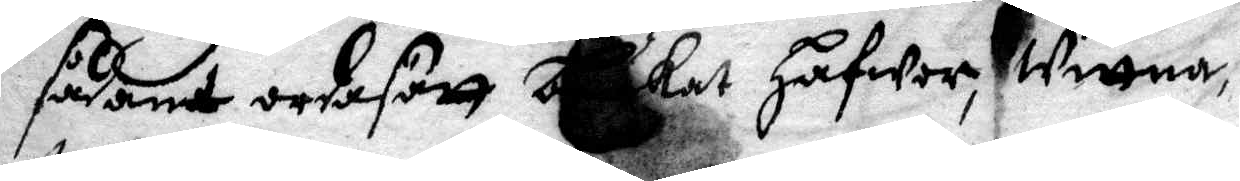sådant ordasätt brukat Hafwer, Wittna,
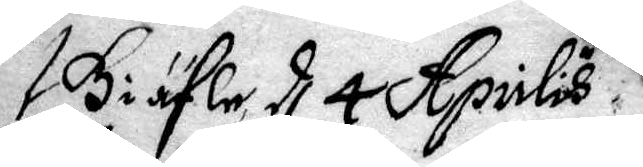Giäfle d. 4 Aprilis 
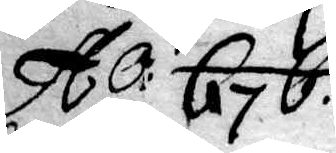A.O: 676.
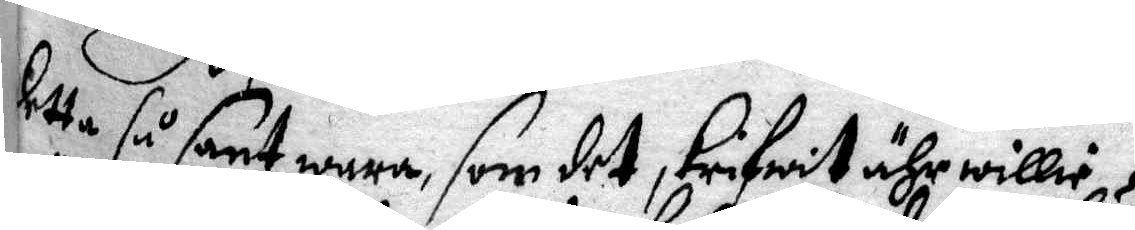detta så sant wara, som det skrifwit ähr willie
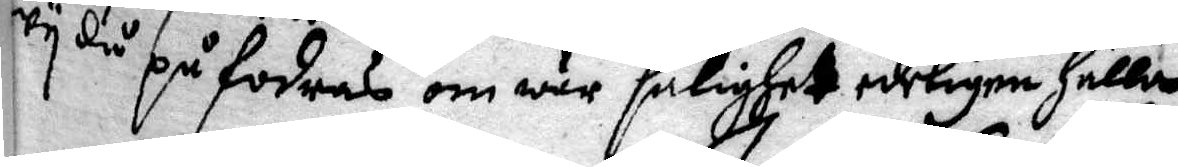wy då på fodras om wår salighet edeligen hålla
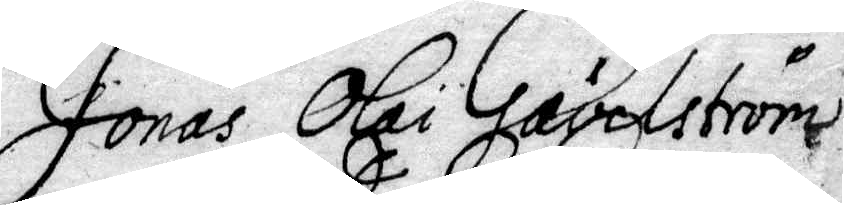Jonas Olai Gävelström
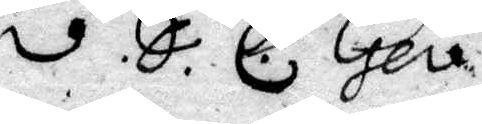v. S. C. Gev.
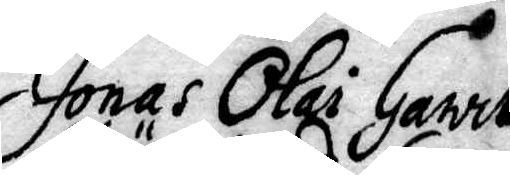Jonas Olai Garrt
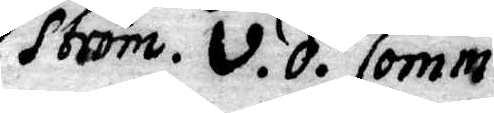Ström. v. d. Comm.
